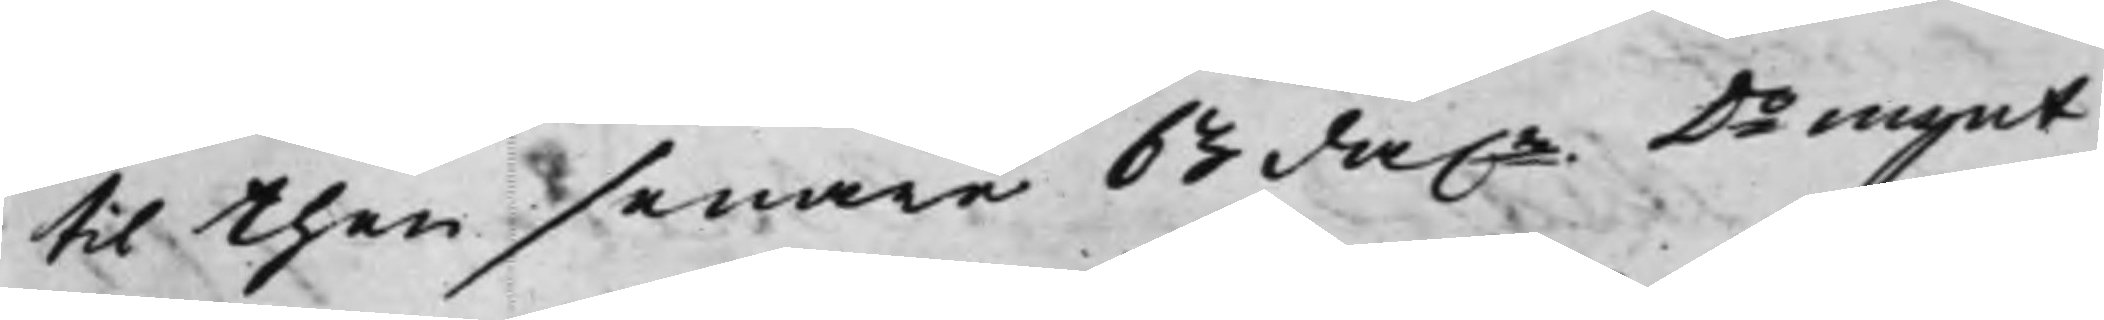til then senare 63 da.r Do mynt
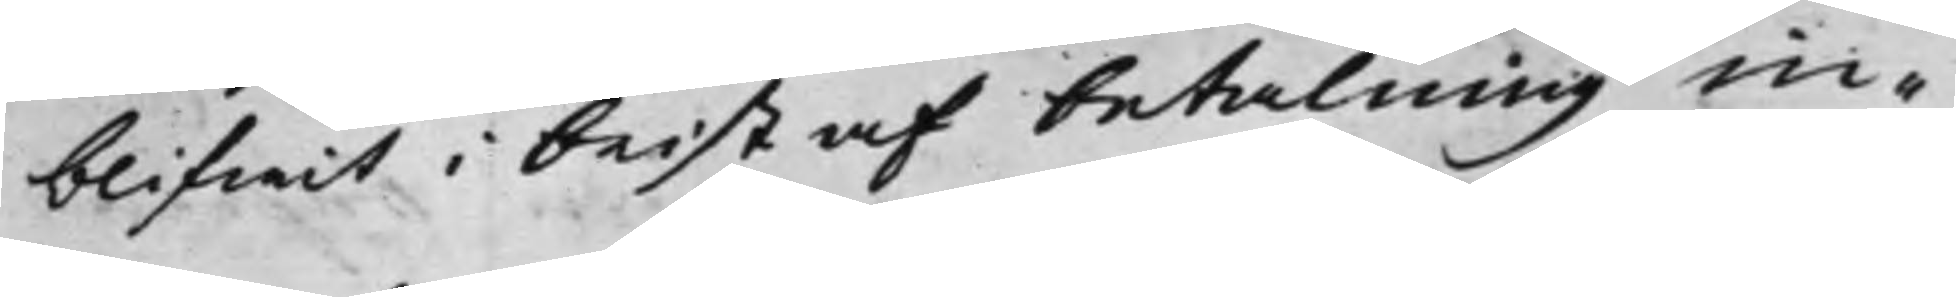blifwit i brist af betalning in¬
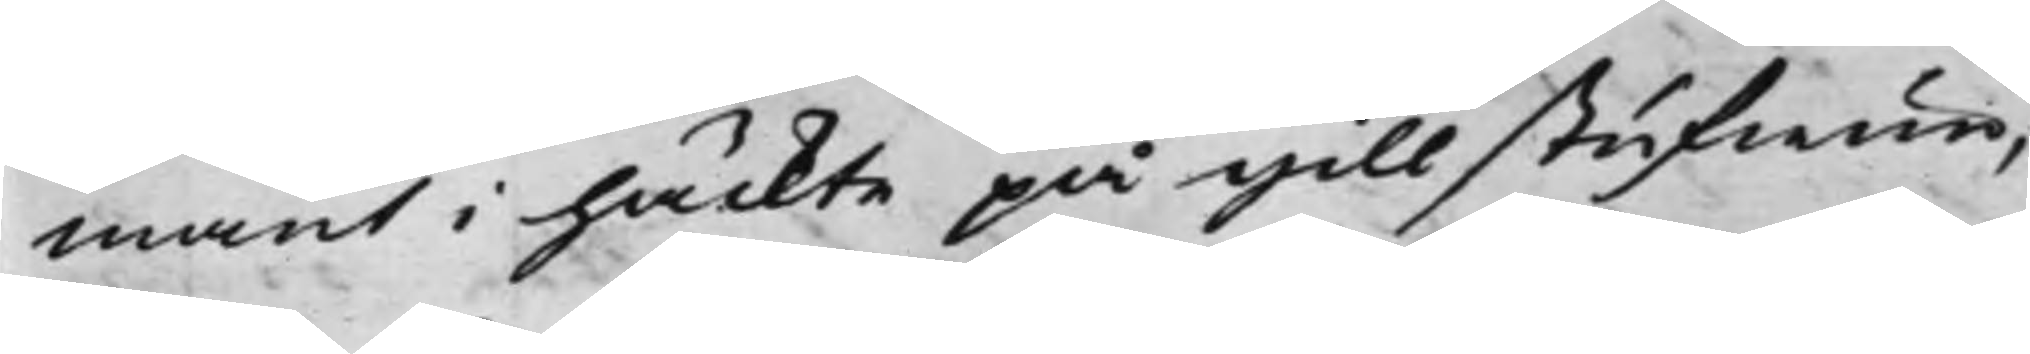mant i häckte på gillstufwun,
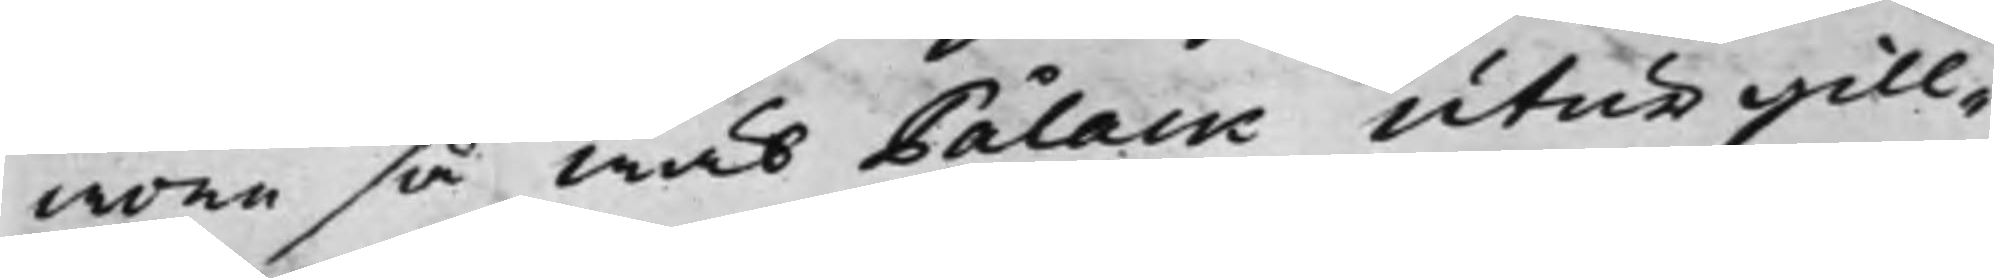wore så wäl Pålack utur gill¬
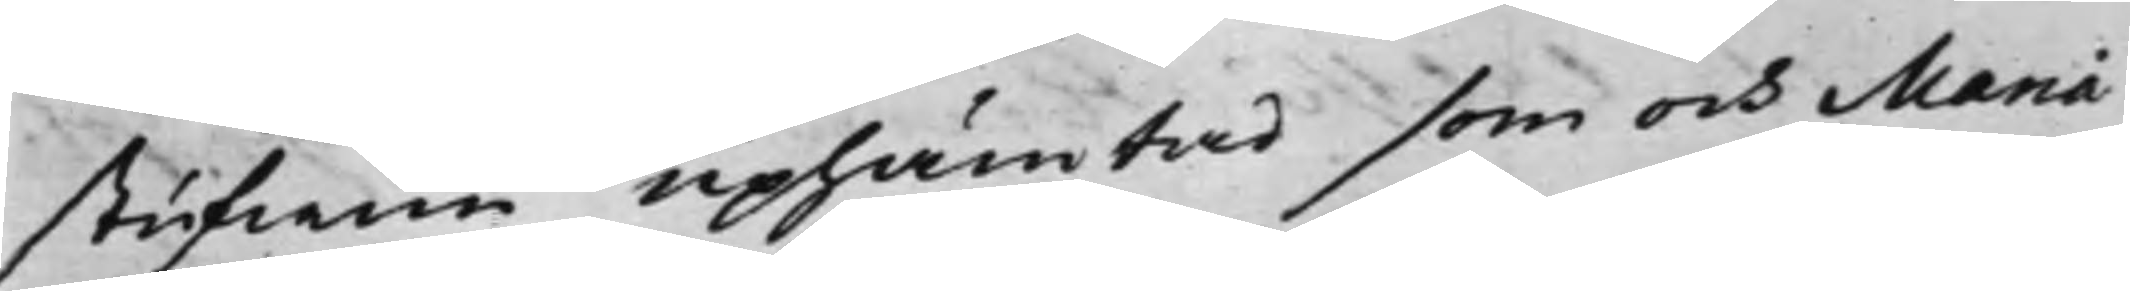stufwun uphämtad som och Maria
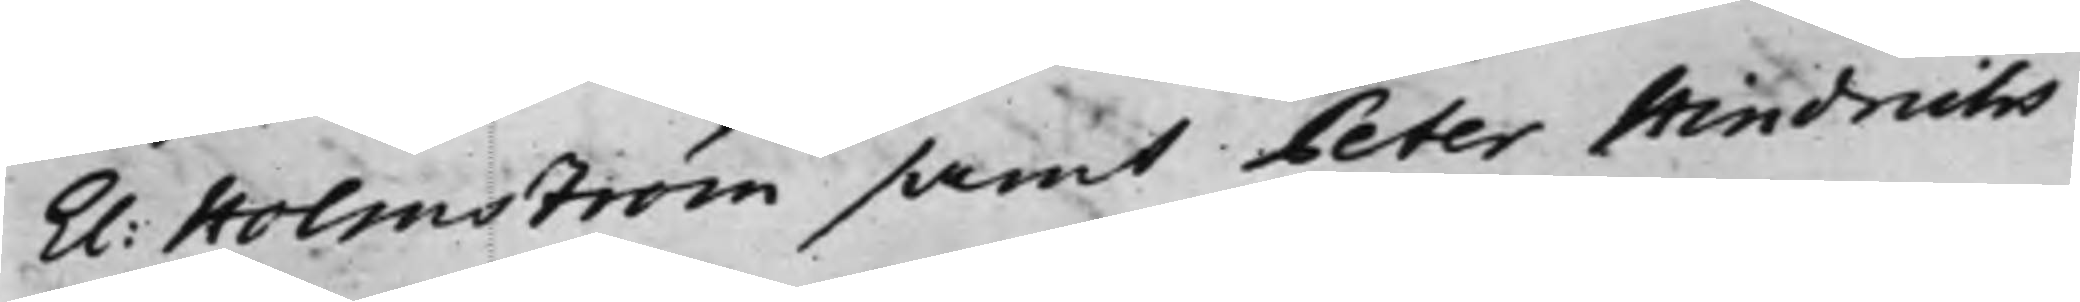El: Holmström samt Peter Hindrichs¬
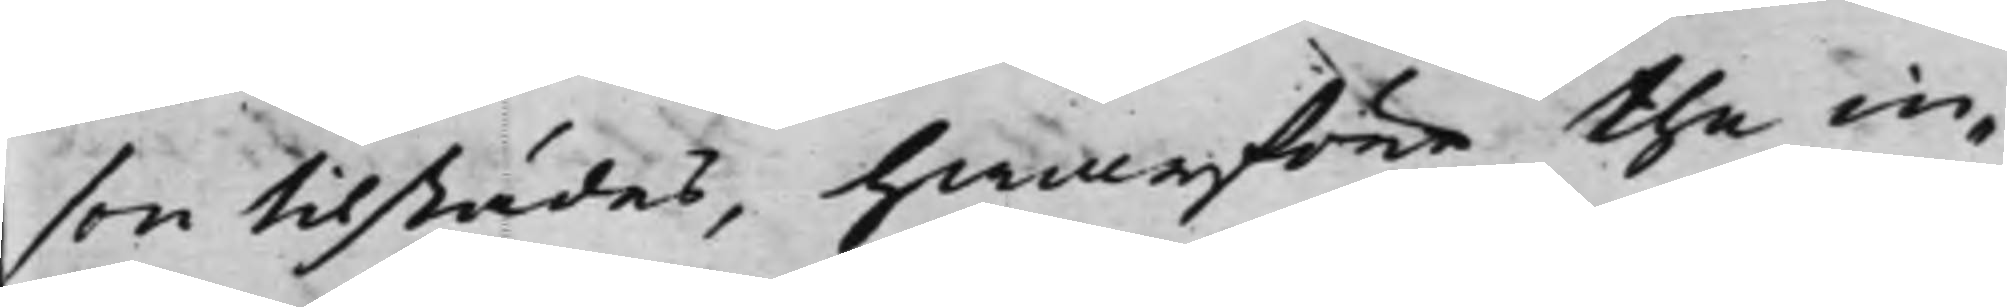son tilstädes, hwarföre the in¬
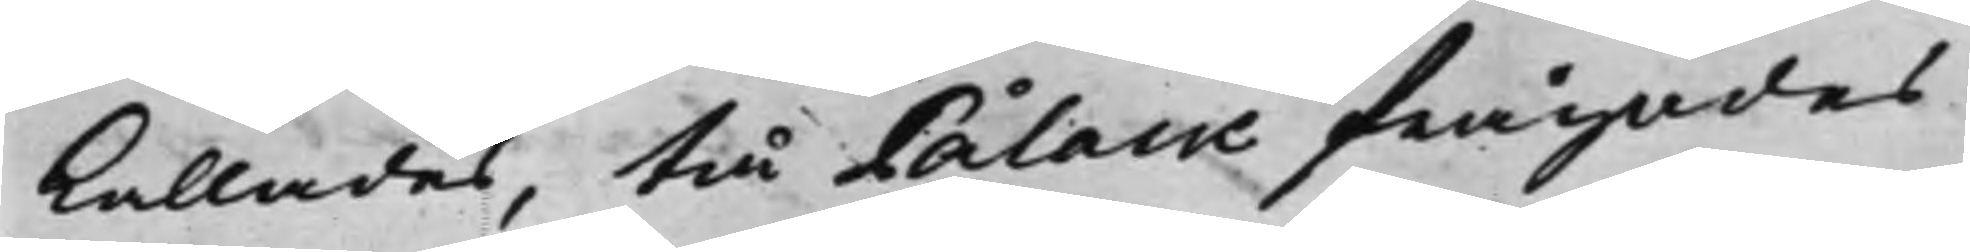kallades, tå Pålack frågades
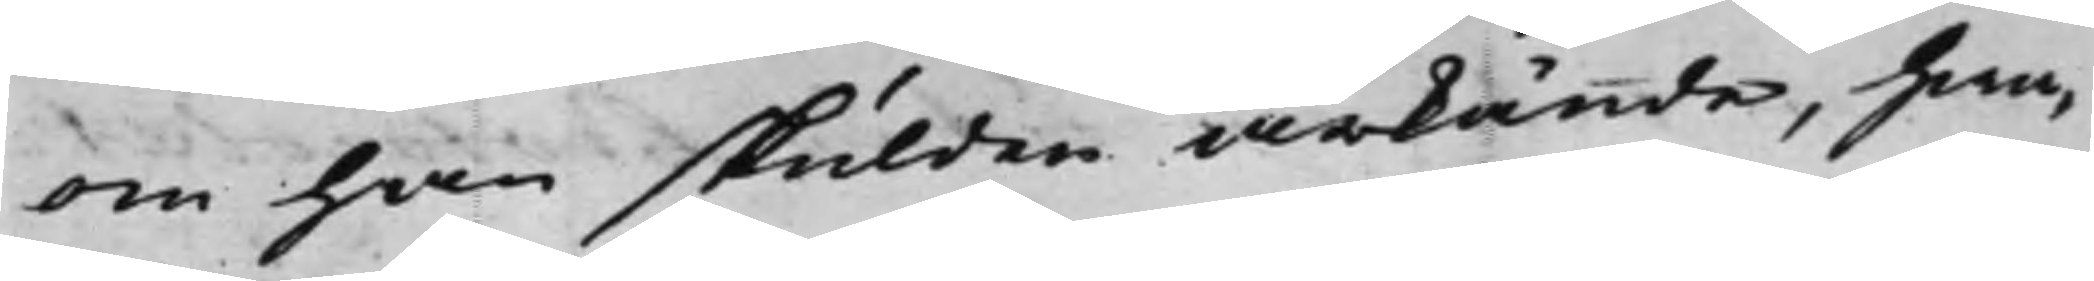om han skulden ärkände, hwa¬
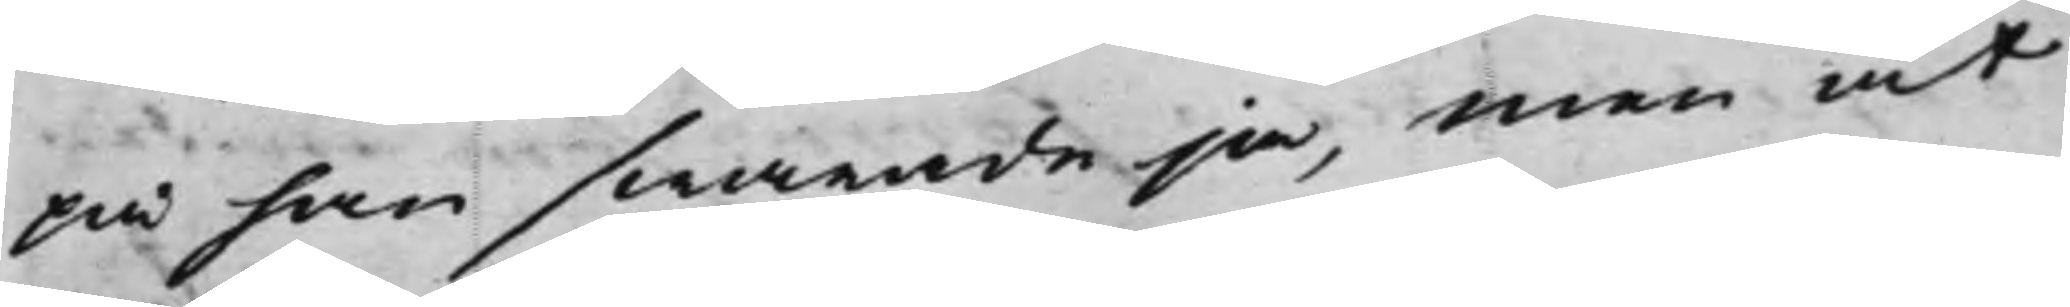på han swarade ja, men at
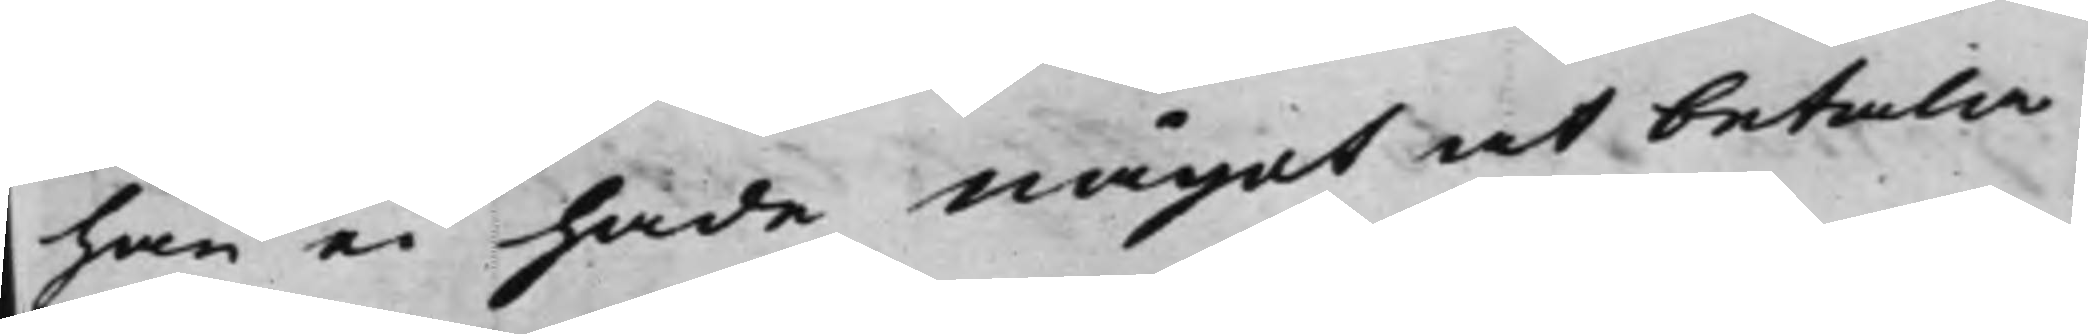han ei hade något at betala
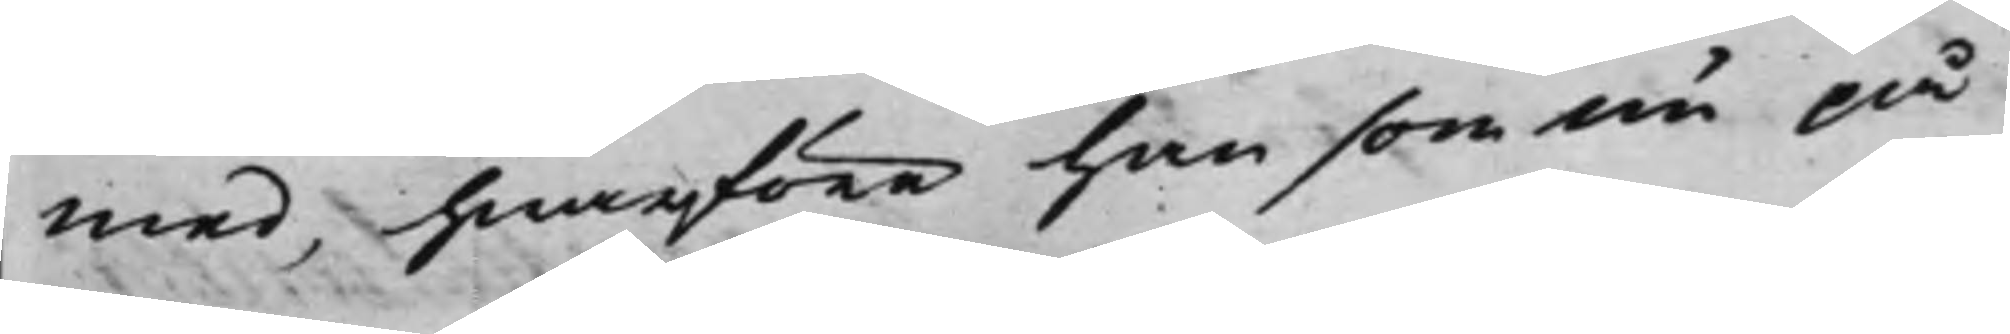med, hwarföre han som nu på
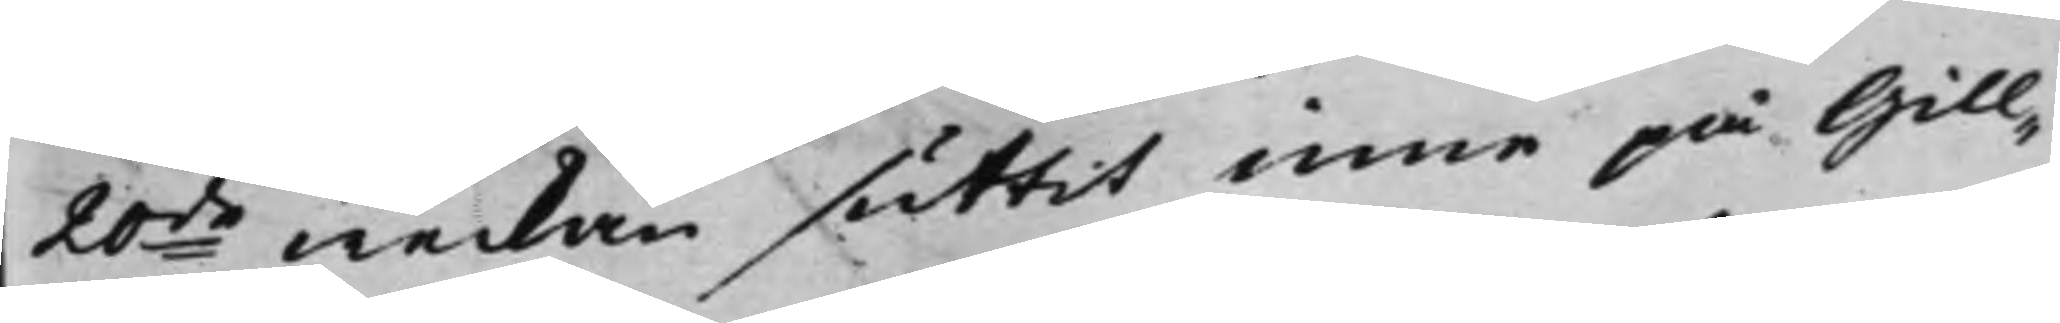20de weckan suttit inne på Gill¬
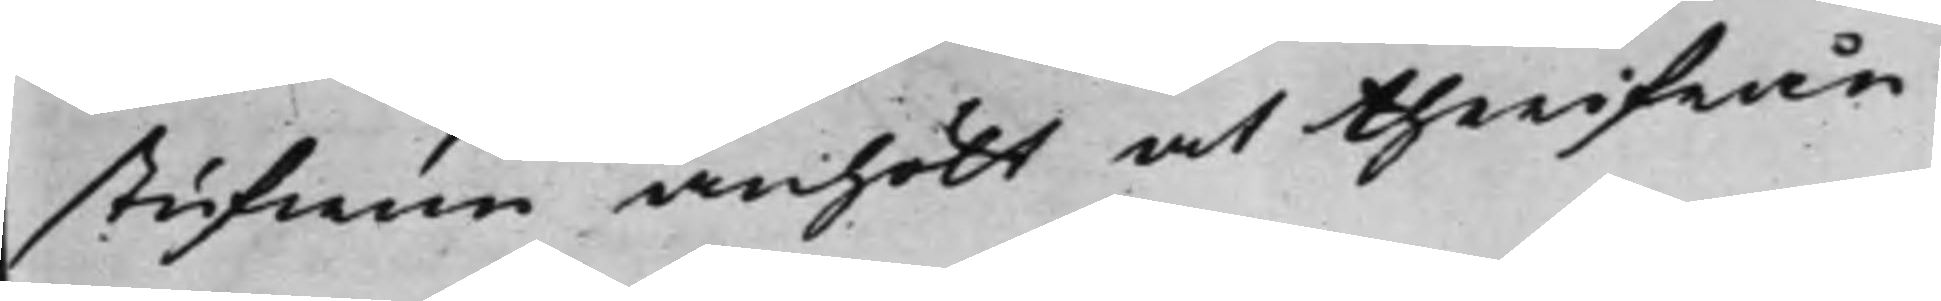stufwun anhölt at therifrån
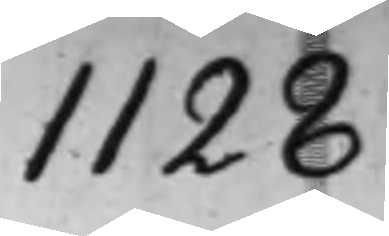1128
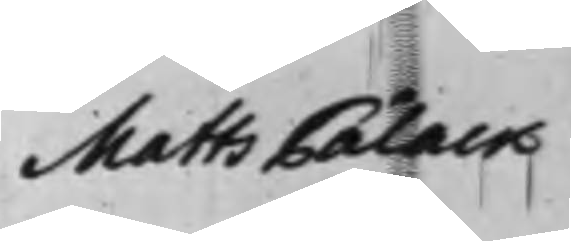Matts Pålack
